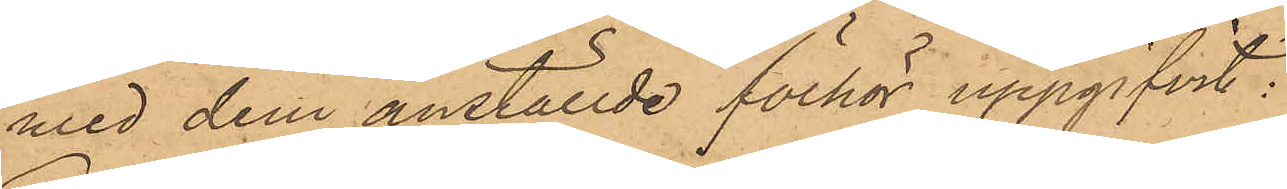med dem anställde förhör uppgifvit:
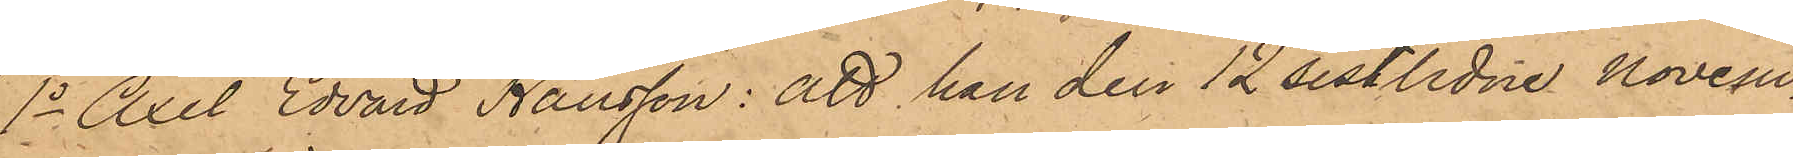1o Axel Edvard Hansson: att han den 12 sistlidne Novem¬
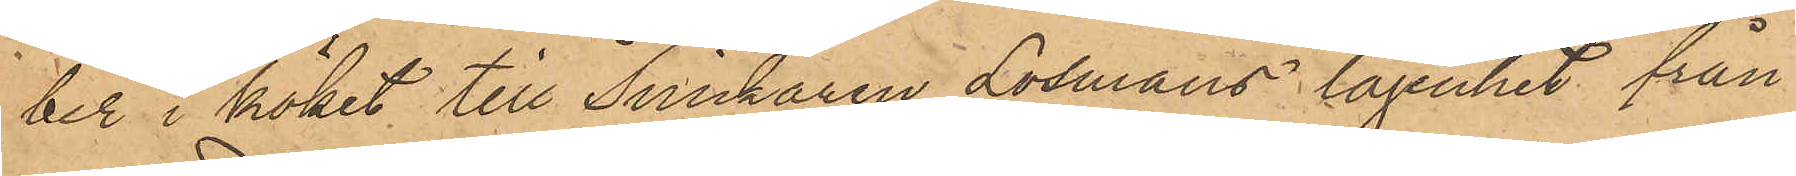ber i köket till Snickaren Losmans lägenhet från
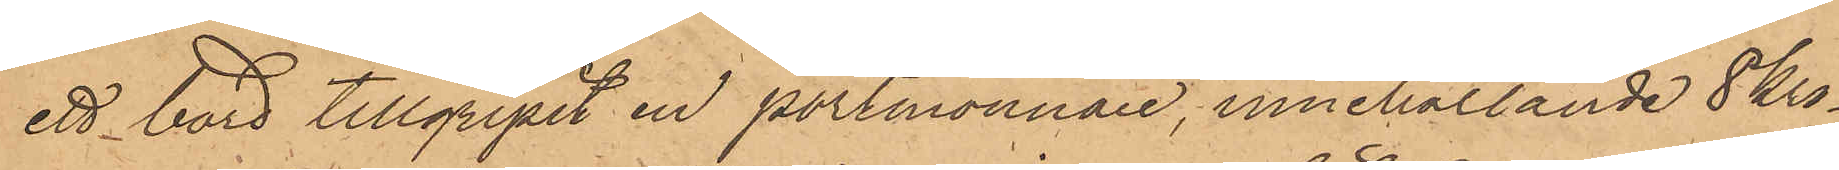ett bord tillgripit en portmonnaie, innehållande 8 kro¬
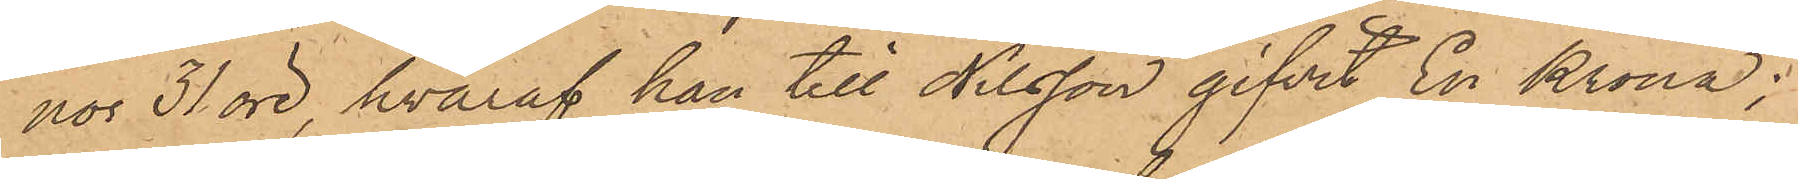nor 31 öre, hvaraf han till Nilsson gifvit En Krona;
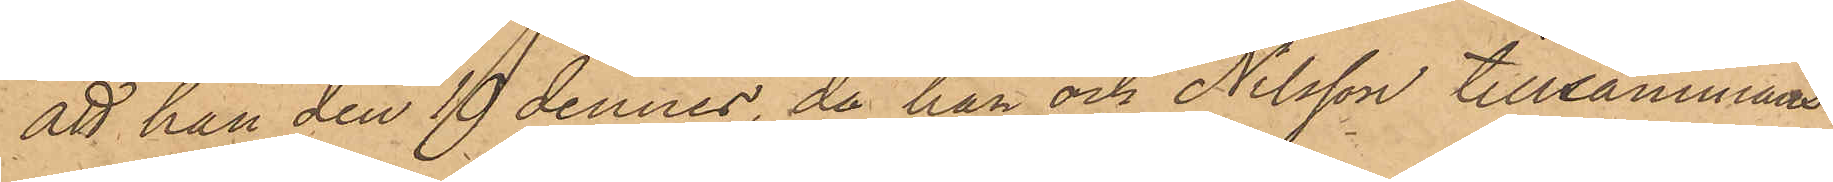att han den 19 dennes, då han och Nilsson tillsammans
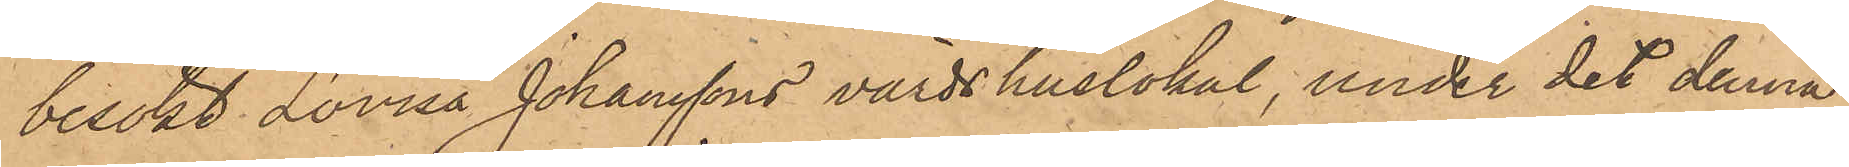besökt Lovisa Johanssons värdshuslokal, under det denna
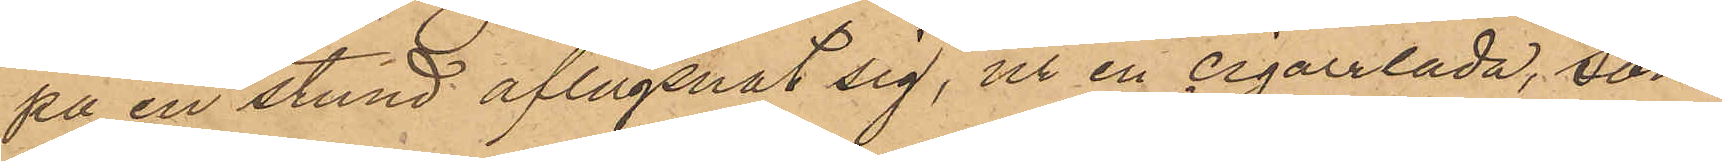på en stund aflägsnat sig, ur en cigarrlåda, som
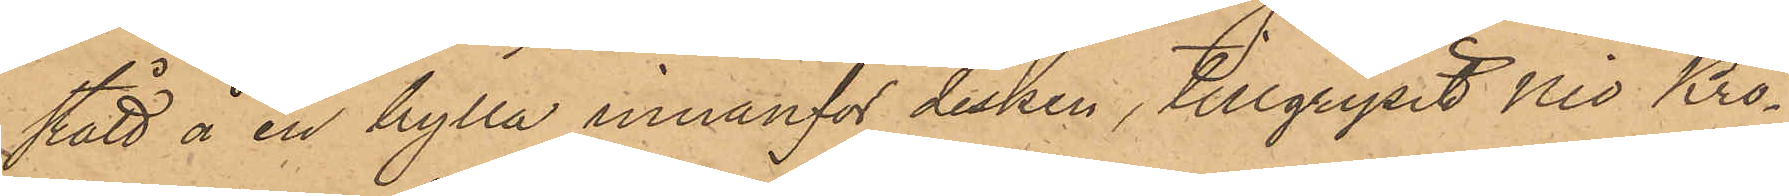stått å en hylla innanför disken, tillgripit Nio Kro¬
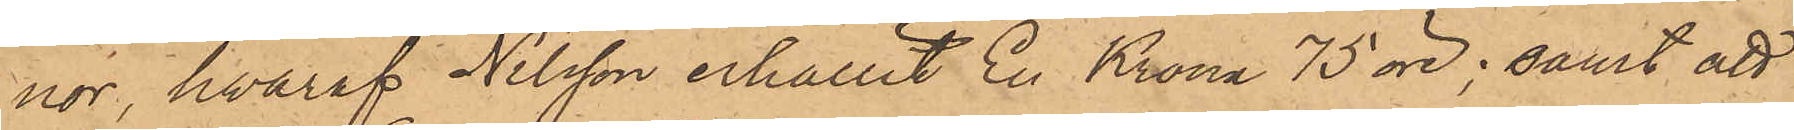nor, hvaraf Nilsson erhållit En Krona 75 öre; samt att
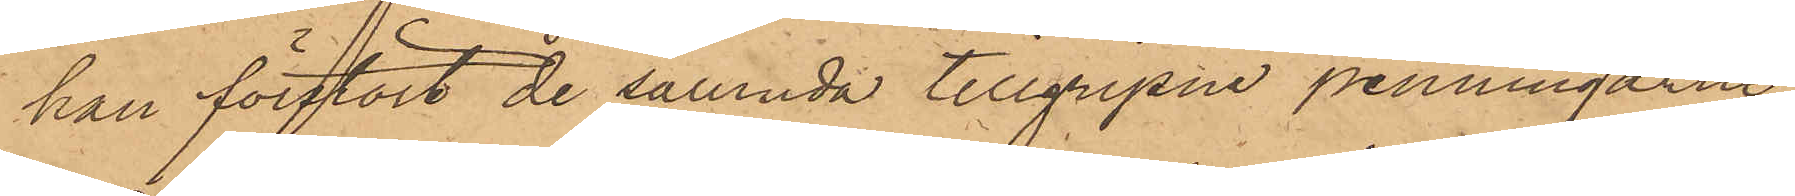han förstört de sålunda tillgripne penningarne
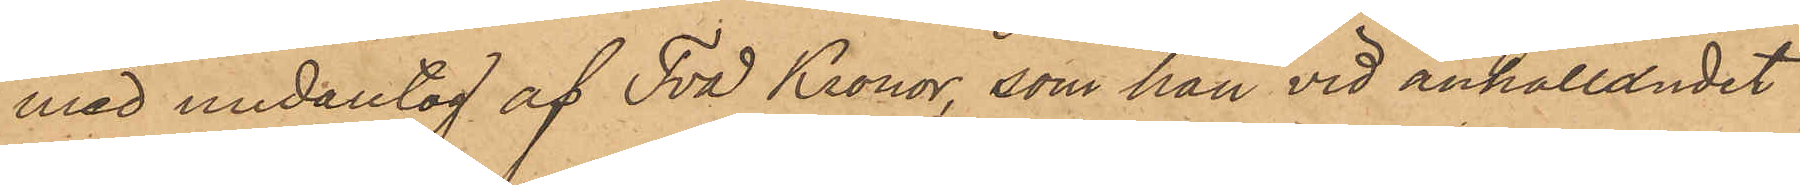med undantag af Två Kronor, som han vid anhållandet
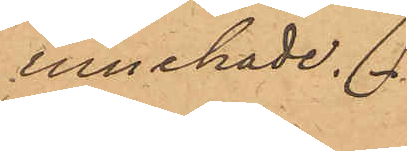innehade.
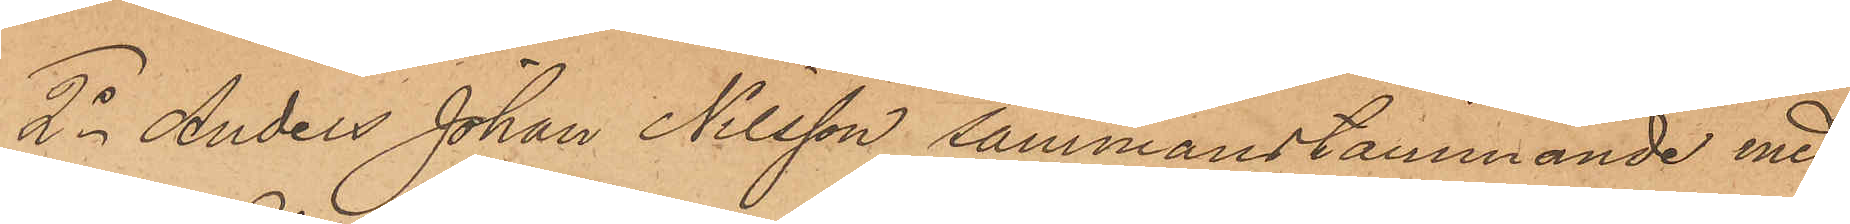2o Anders Johan Nilsson sammanstämmande med
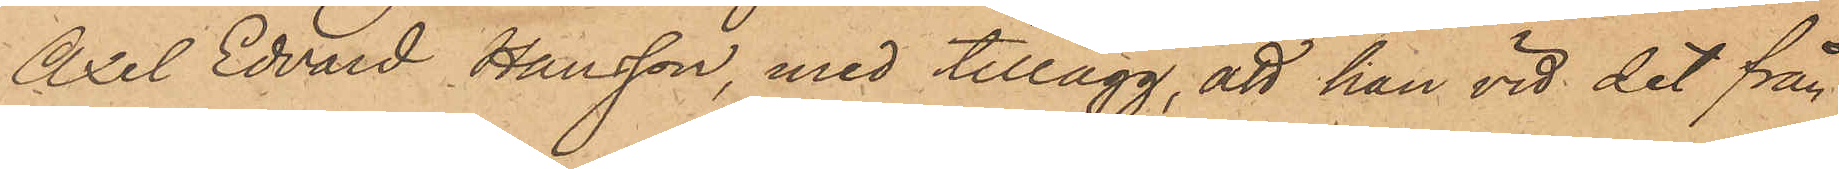Axel Edvard Hansson, med tillägg, att han vid det från
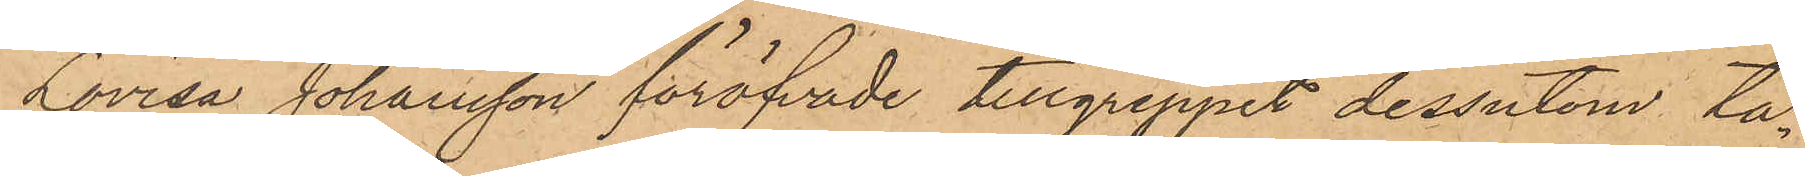Lovisa Johansson föröfvade tillgreppet dessutom ta¬
